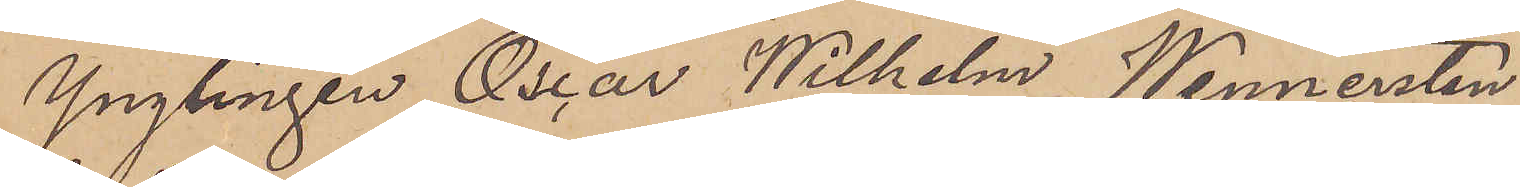Ynglingen Oscar Wilhelm Wennersten
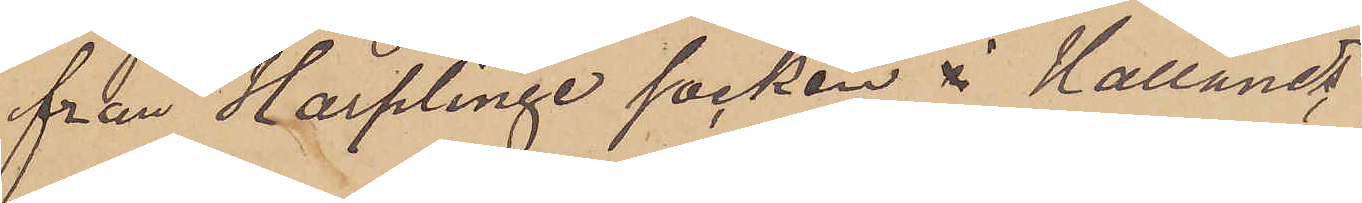från Harplinge socken i Hallands
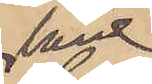län
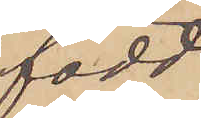född
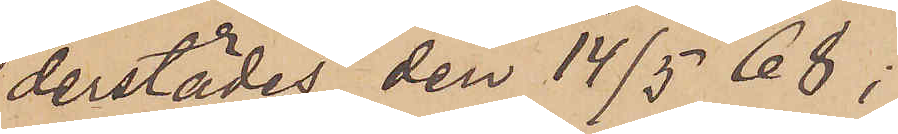derstädes den 14/5 68,
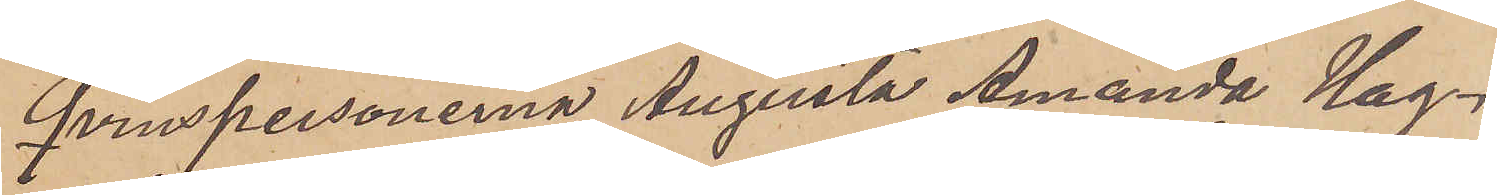Qvinspersonerna Augusta Amanda Hag¬
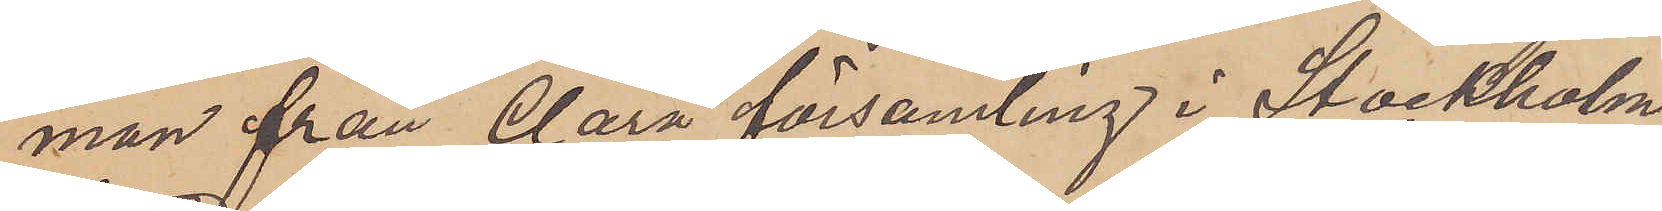man från Clara församling i Stockholm,
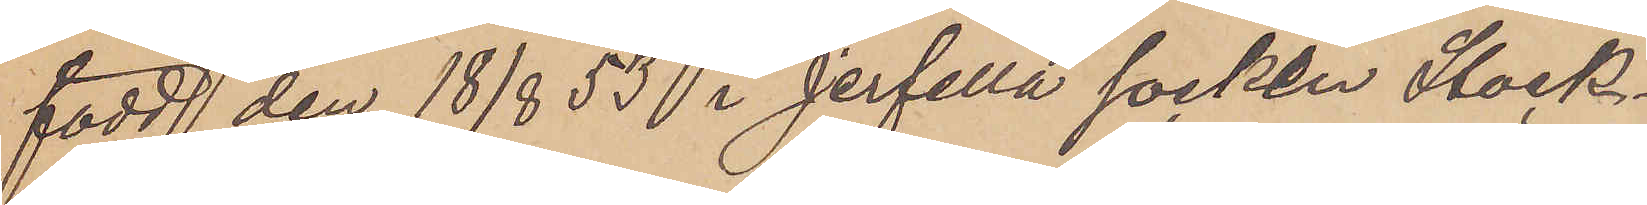född den 18/8 53 i Jerfella socken Stock¬
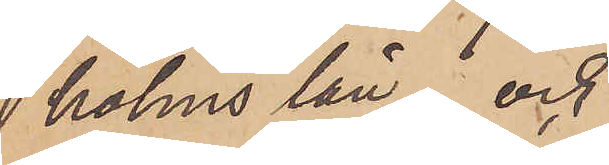holms län; och
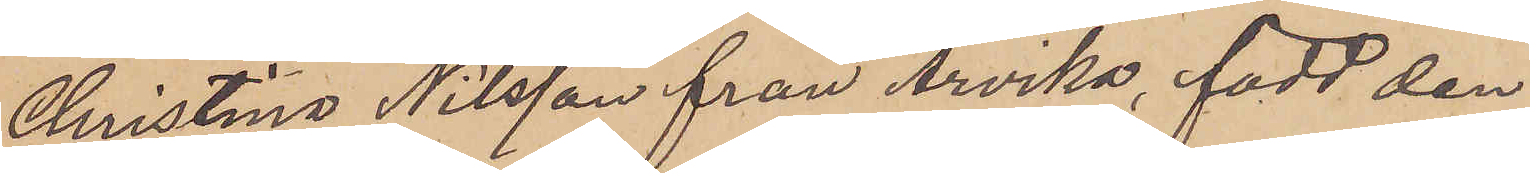Christina Nilsson från Arvika, född den
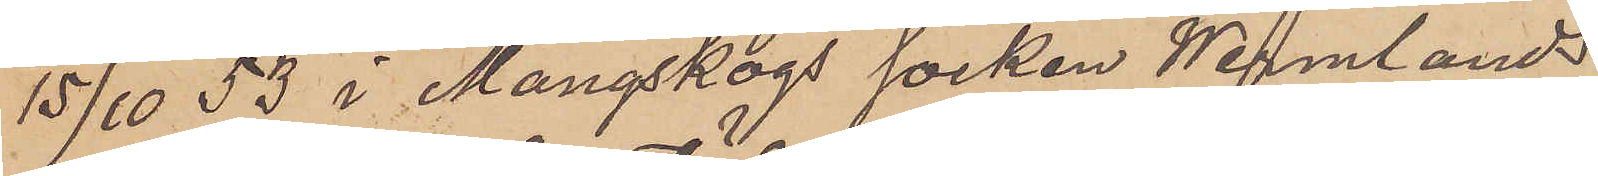15/10 53 i Mangskogs socken Wermlands
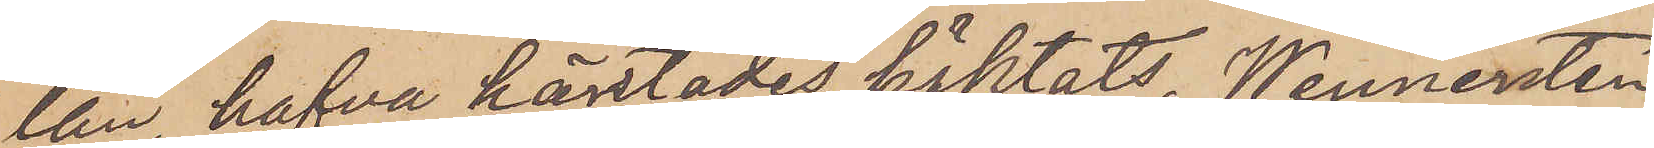län, hafva härstädes häktats, Wennersten
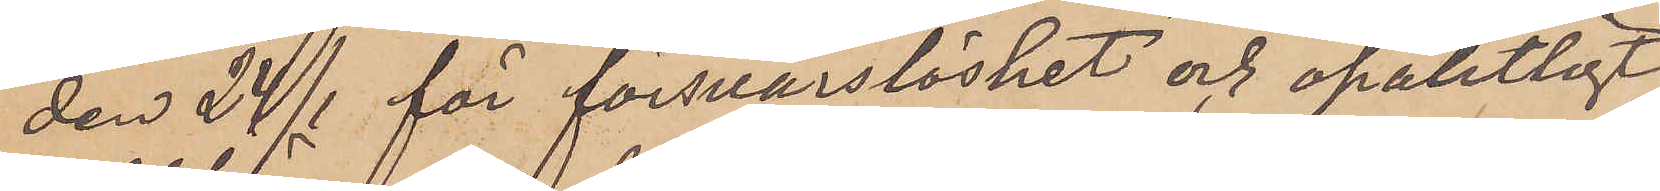den 24/1 för försvarslöshet och opålitligt
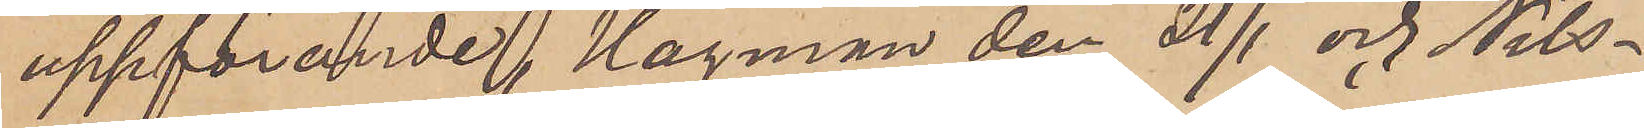uppförande, Hagman den 21/1 och Nils¬
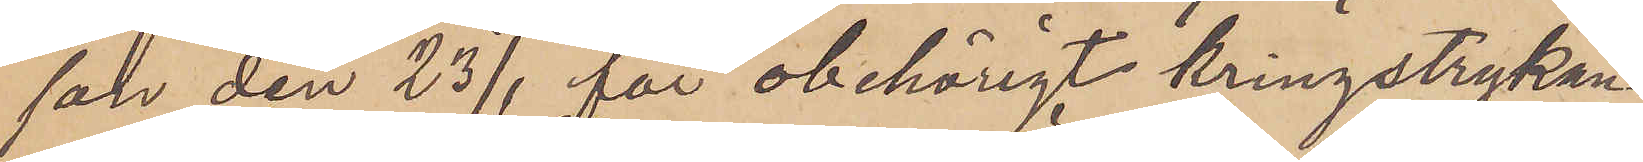son den 23/1 för obehörigt kringstrykan¬
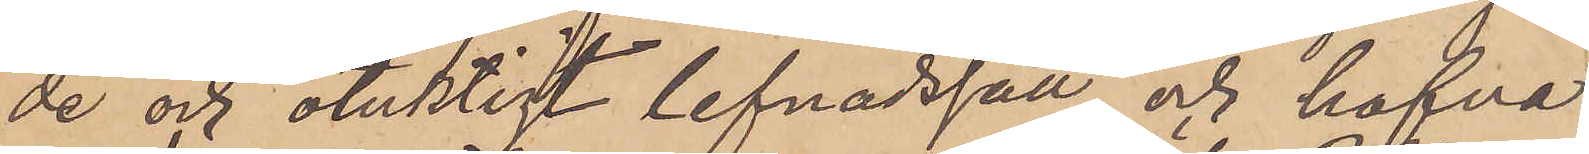de och otuktigt lefnadssätt, och hafva
